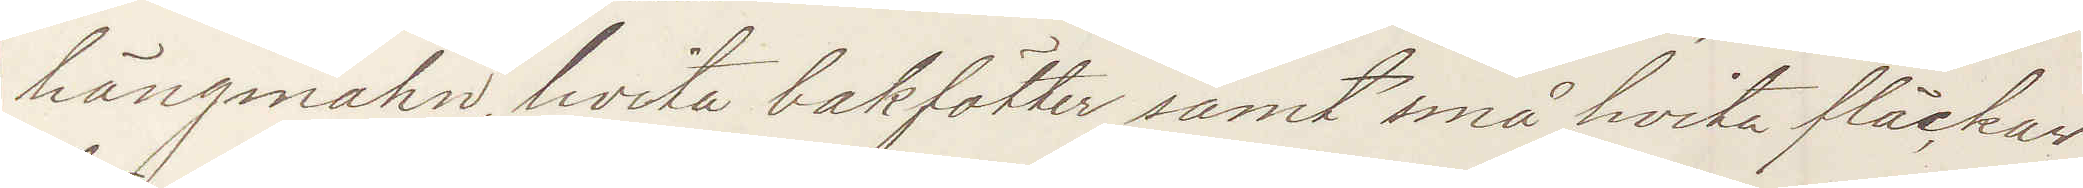hängmahn, hvita bakfötter samt små hvita fläckar
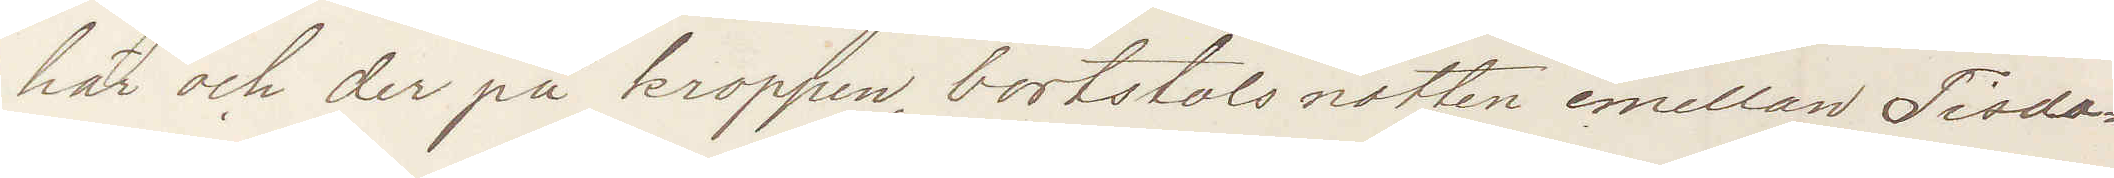här och der på kroppen, bortstals natten emellan Tisda¬
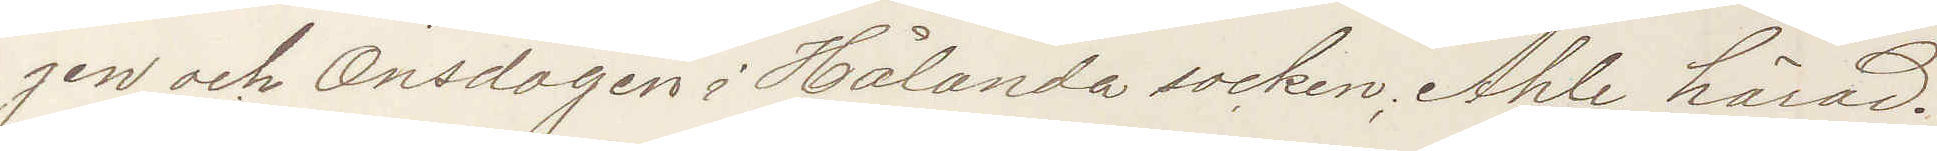gen och Onsdagen i Hålanda socken, Ahle härad.
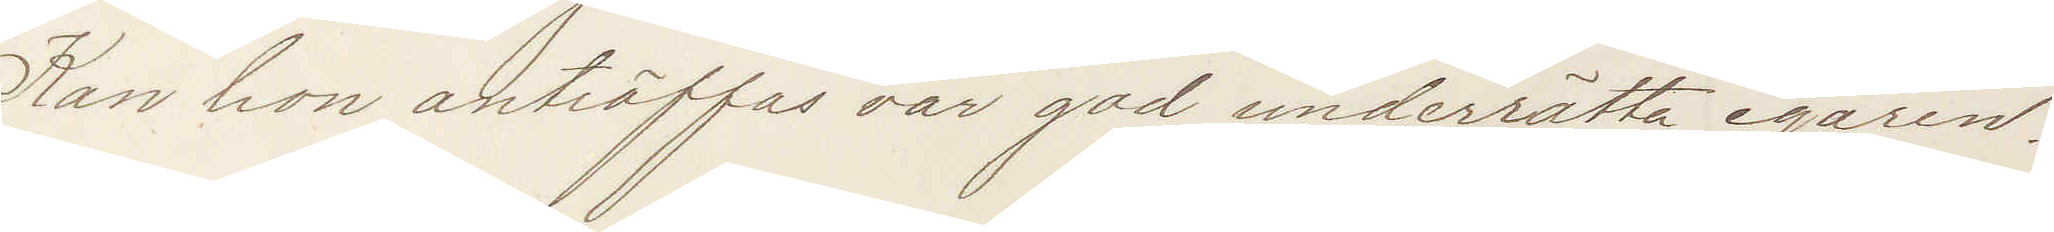Kan hon anträffas var god underrätta egaren.
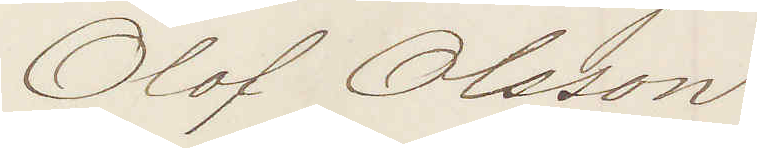Olof Olsson
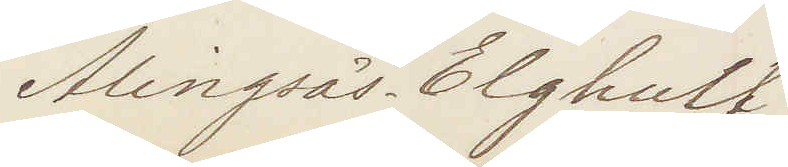Alingsås. Elghult
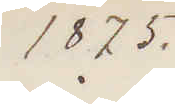1875.
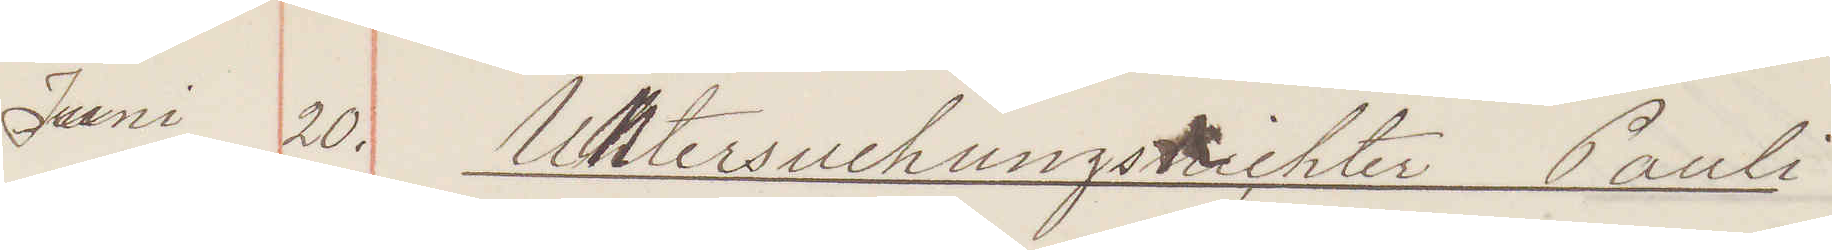Juni 20. Untersuchungsrichter Pauli
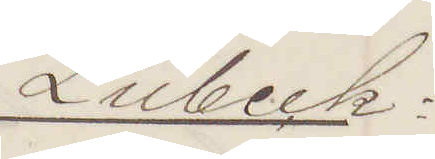Lübeck:
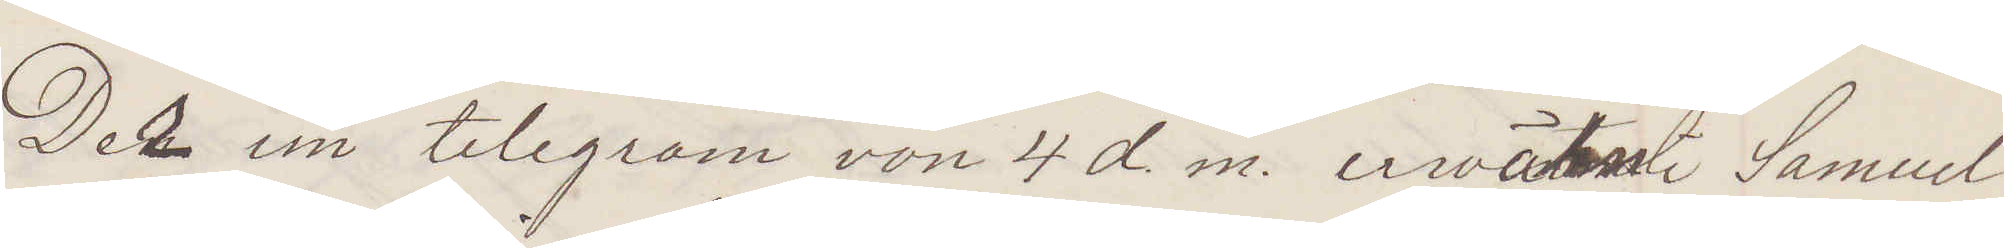Der im telegram von 4 d. m. erwähnt Samuel
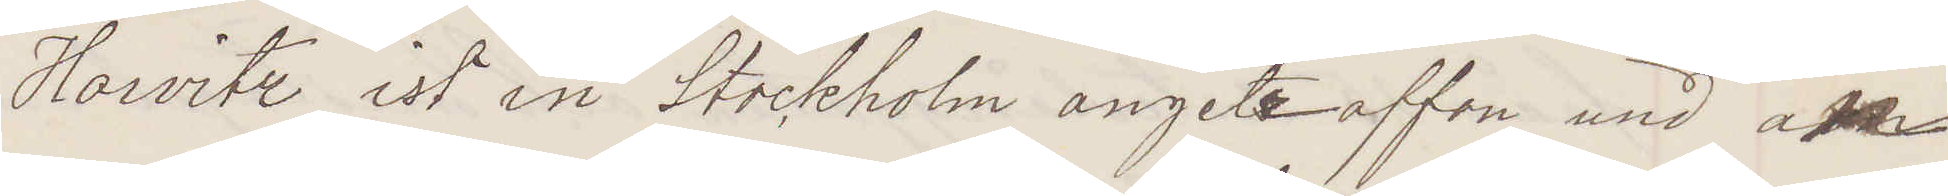Horvitz ist in Stockholm angetroffen und an¬
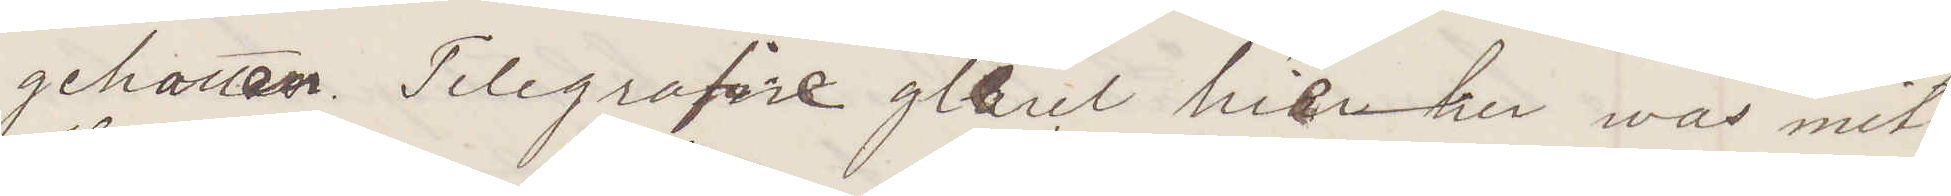gehalten. Telegrafire gleich hierunder was mit
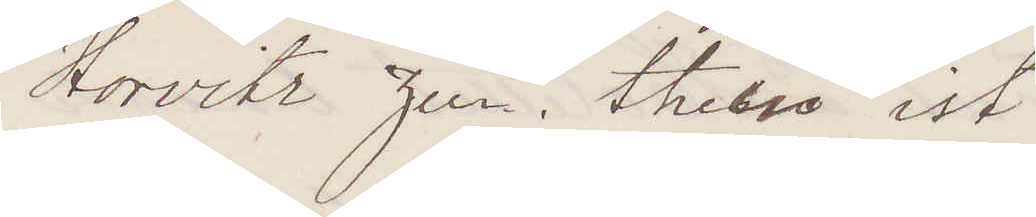Horvitz zum thier ist
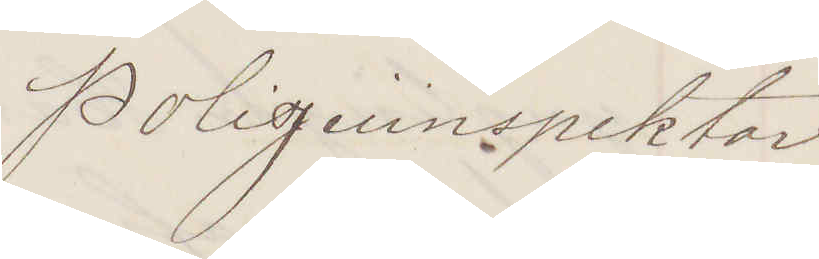Polizeiinspektor
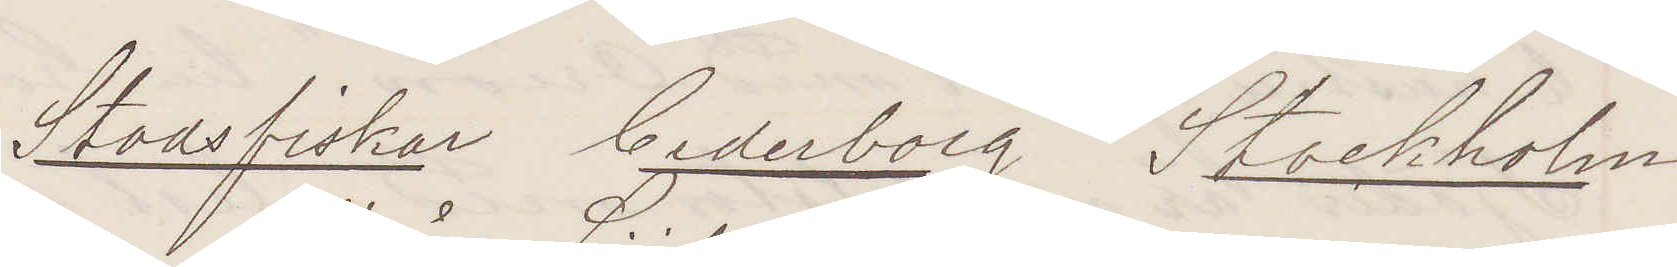Stadsfiskal Cederborg Stockholm
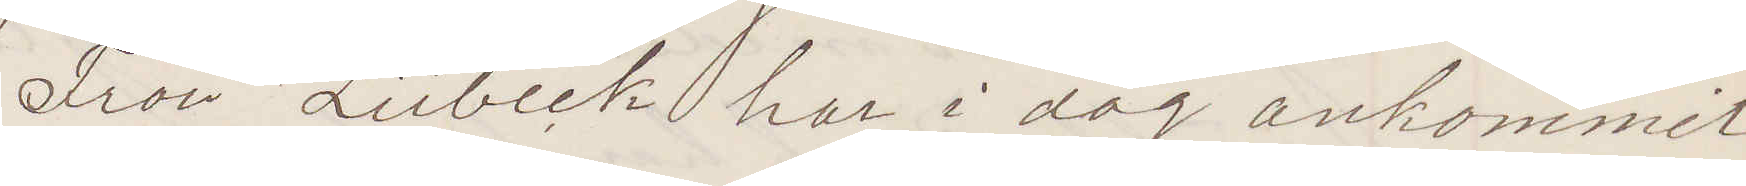Från Lübeck har i dag ankommit
